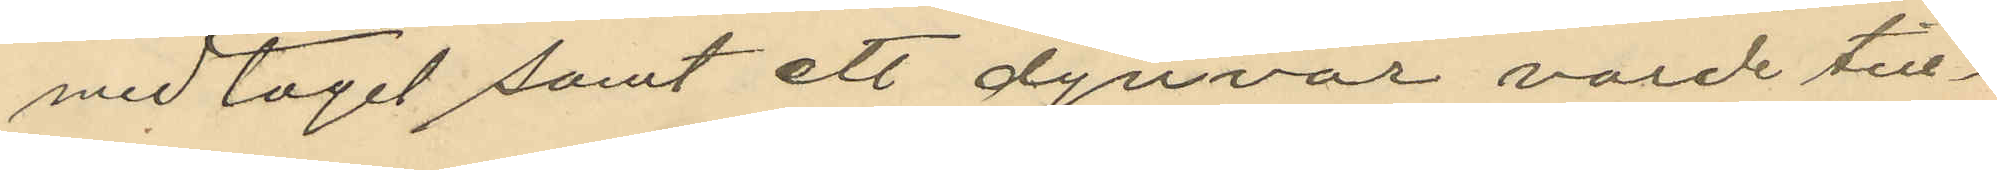medtaget samt ett dynvar värde till¬
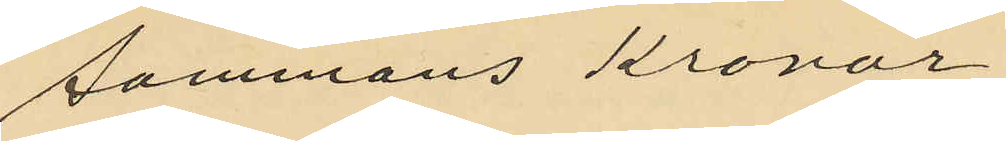sammans Kronor
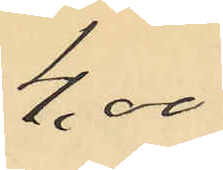4,00
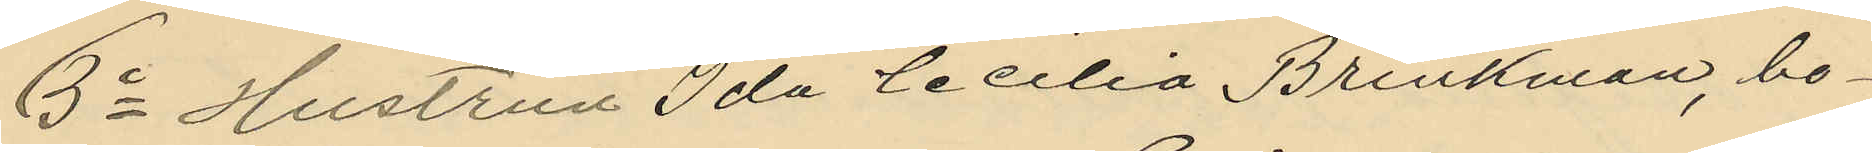3o Hustrun Ida Cecilia Brinkman, bo¬
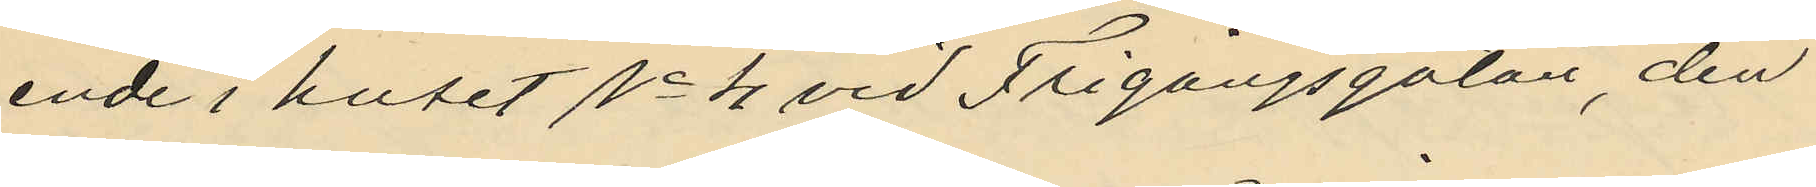ende i huset No 4 vid Frigångsgatan, den
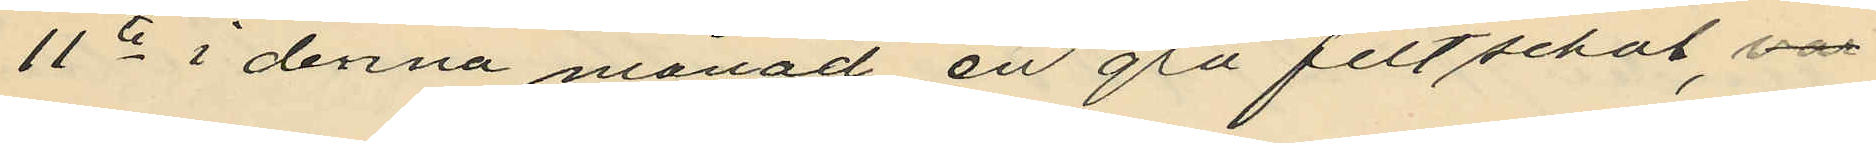11e i denna månad en grå filtschal, var¬
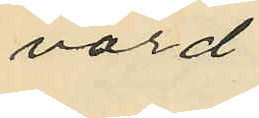värd
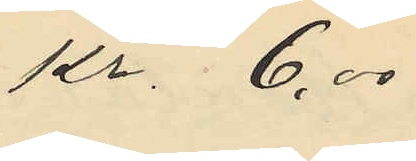kr. 6,00
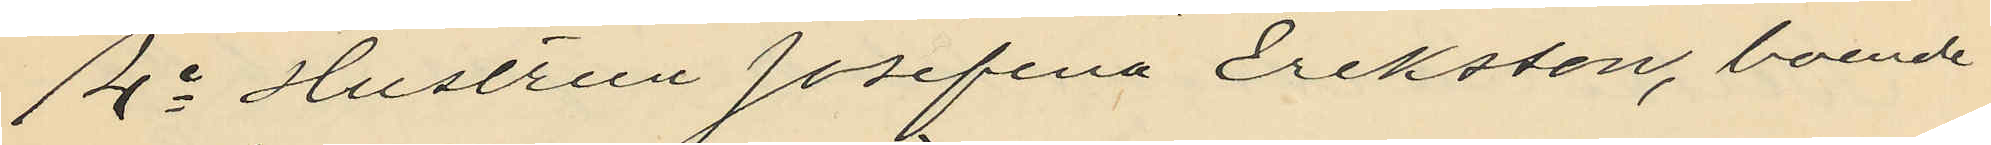4o Hustrun Josefina Eriksson, boende
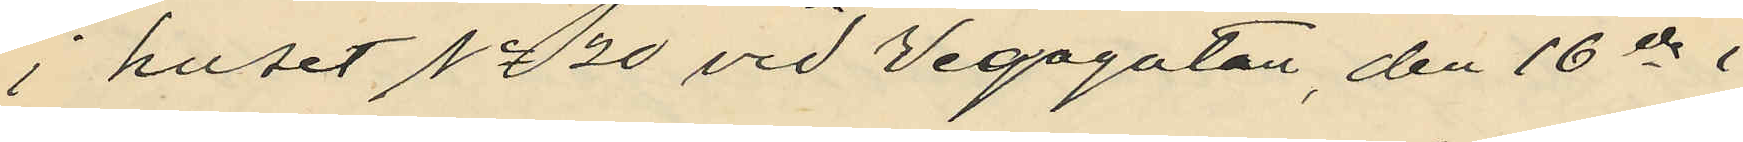i huset No 20 vid Vegagatan, den 16 ds i
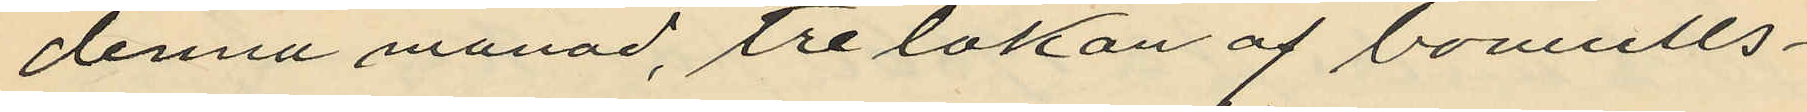denna månad, tre lakan af bomulls¬
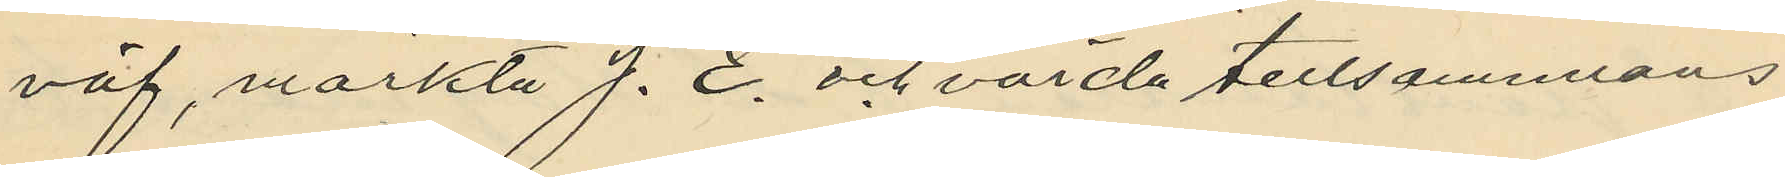väf, värkta "J. E." och värda tillsammans
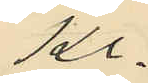Kr.
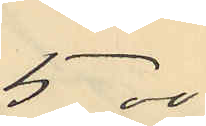5,00
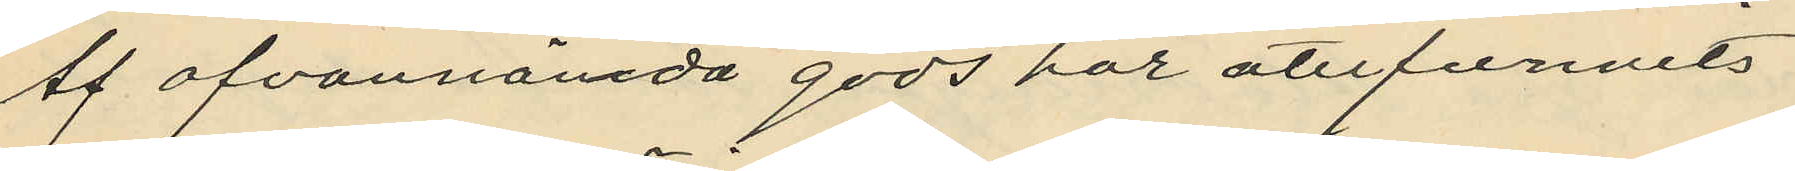Af ofvannämda gods har återfunnits
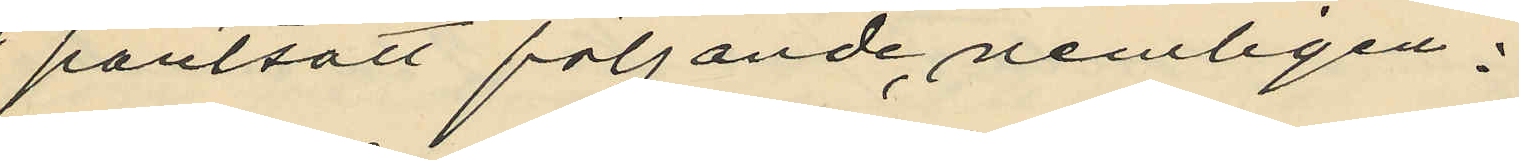pantsatt följande nemligen:
